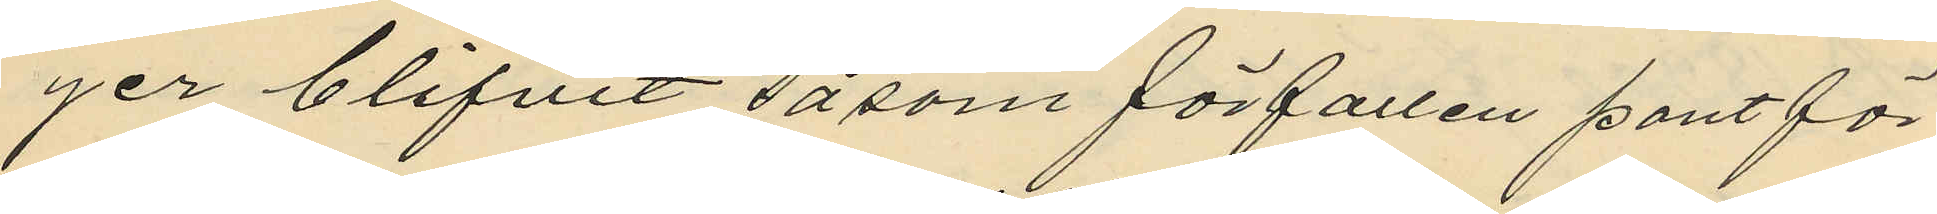ger blifvit såsom förfallen pantför¬
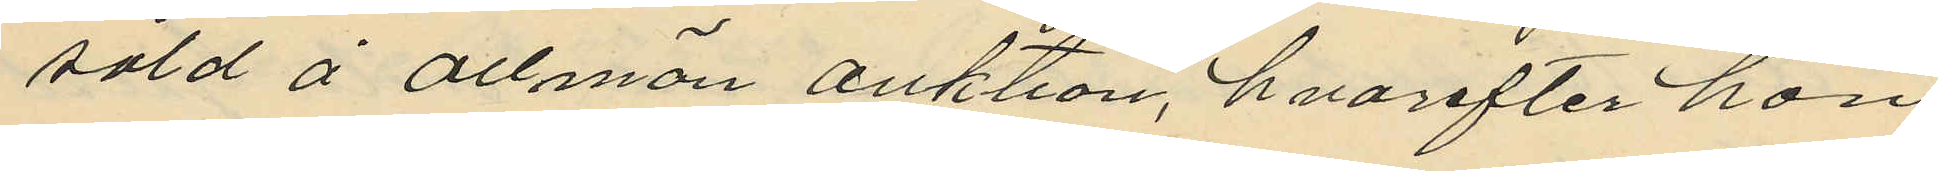såld å allmän auktion, hvarefter hon
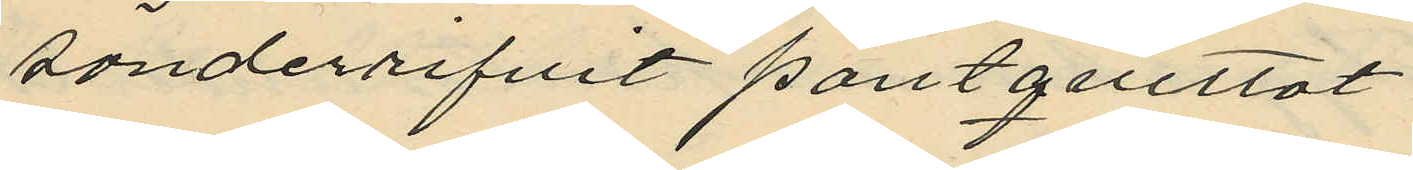sönderrifvit pantquittot
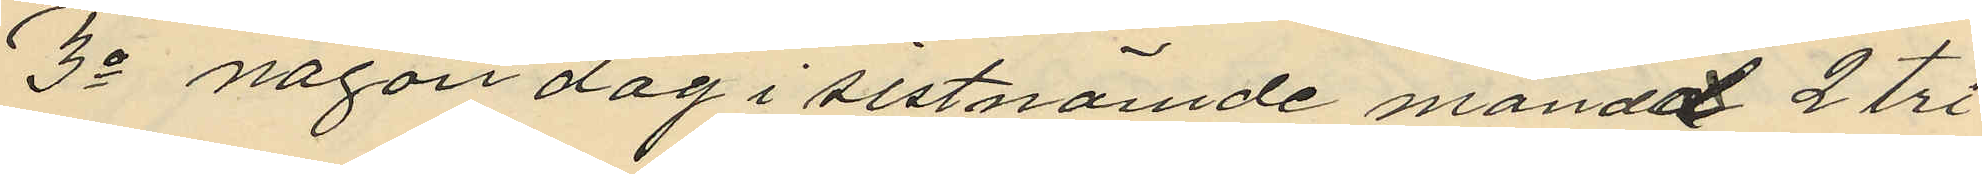3o någon dag i sistnämde månad 2 tri¬
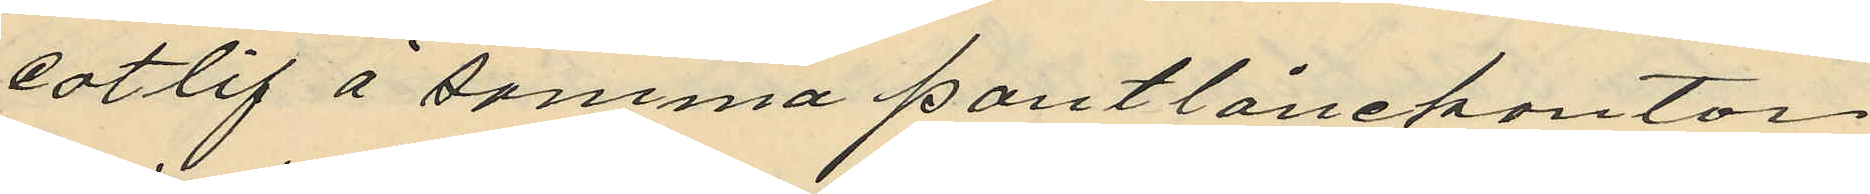cotlif å samma pantlånekontor
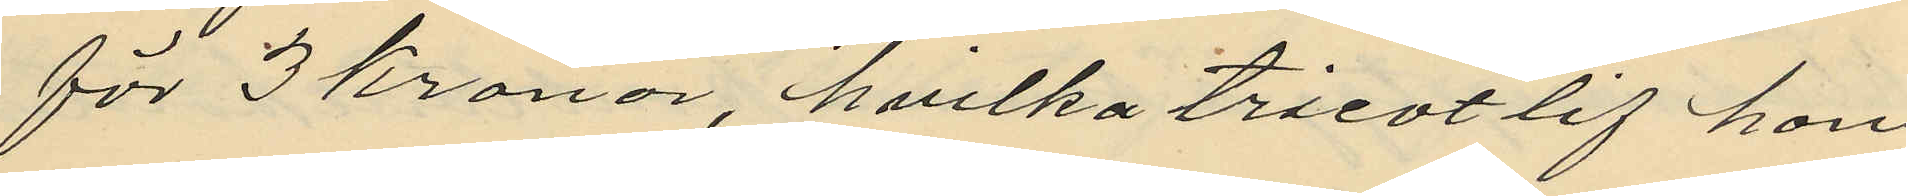för 3 Kronor, hvilka tricotlif hon
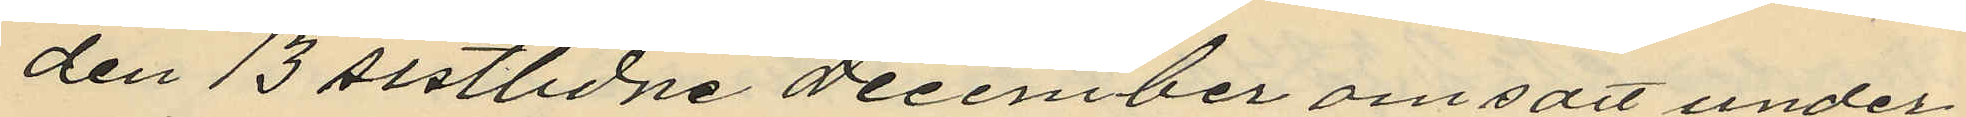den 13 sistlidne December omsätt under
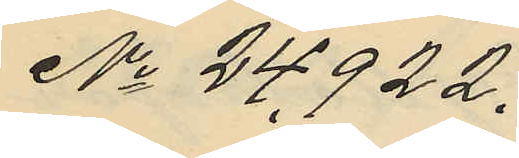No 24922.
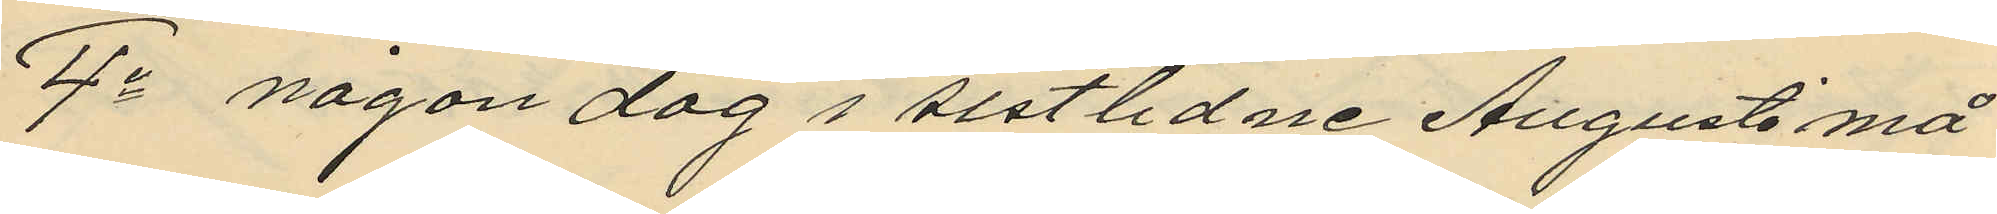4o någon dag i sistlidne Augusti må¬
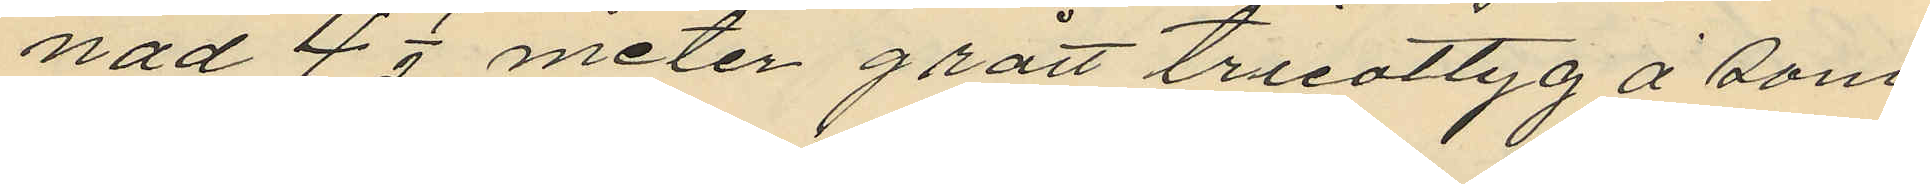nad 4 1/2 meter grått tricottyg å sam¬
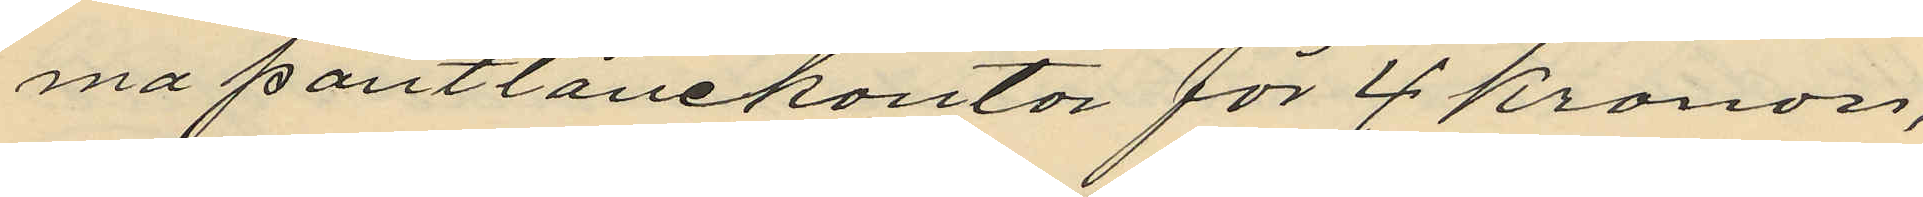ma pantlånekontor för 4 kronor,
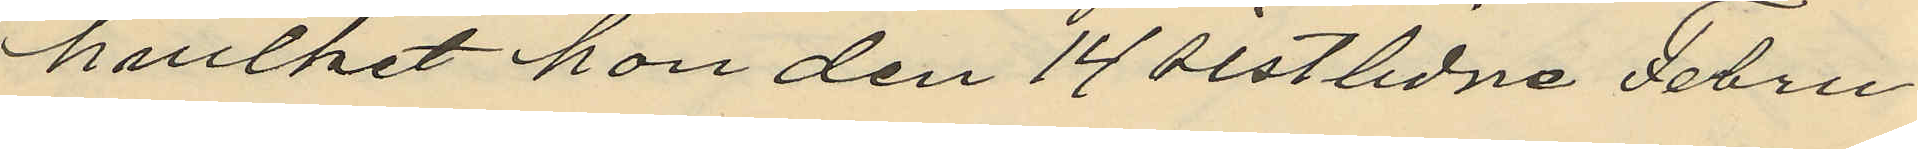hvilket hon den 14 sistlidne Febru¬
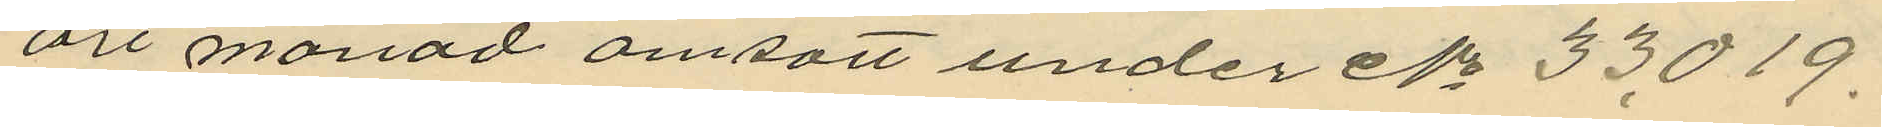ari månad omsatt under No 33019.
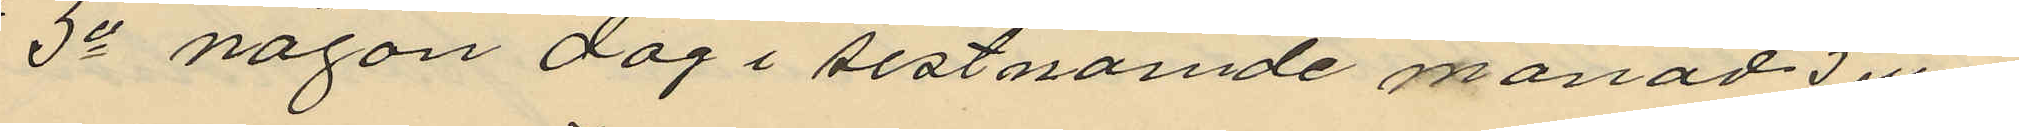5o någon dag i sistnämde månad 5 eller
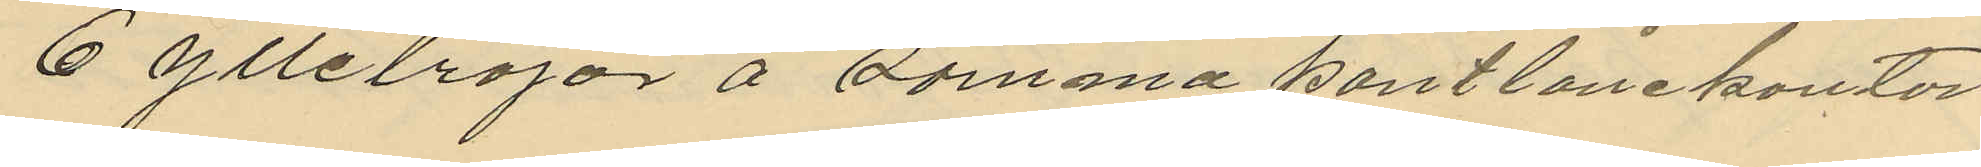6 ylletröjor å samma pantlånekontor
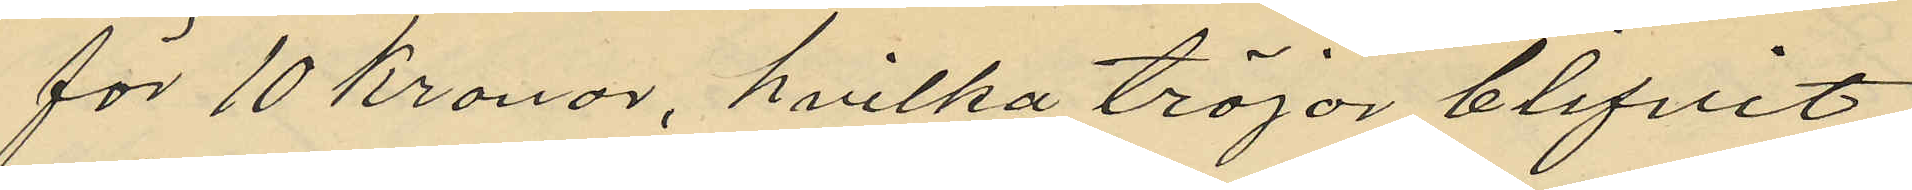för 10 Kronor, hvilka tröjor blifvit
